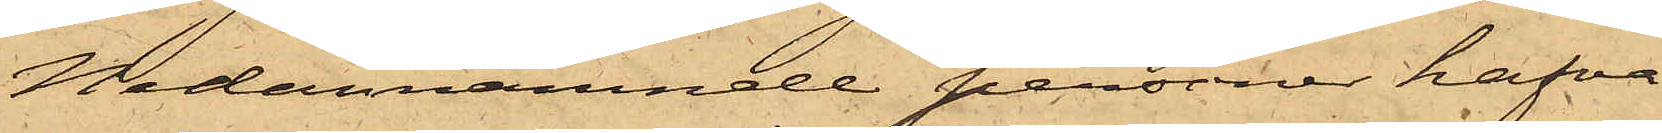Nedannämnde personer hafva
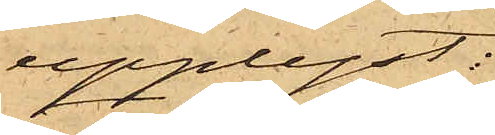upplyst:
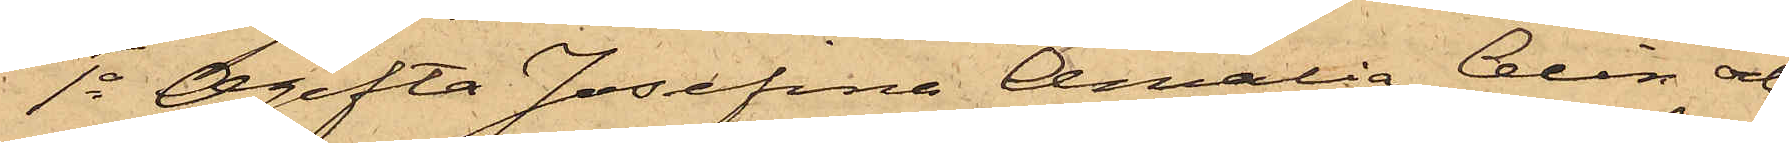1o Ogifta Josefina Amalia Alin och
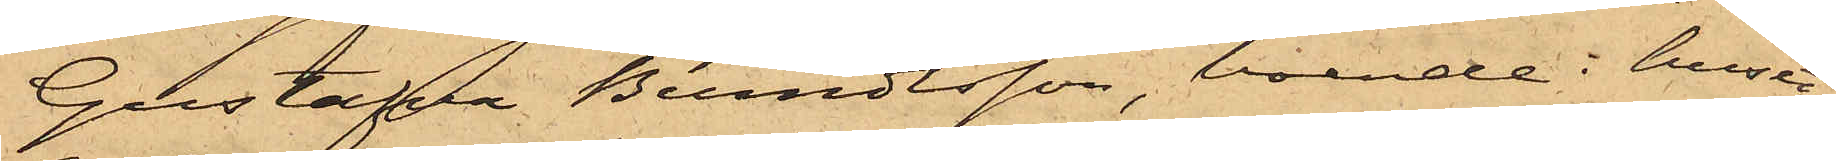Gustafva Berndtsson, boende i huset
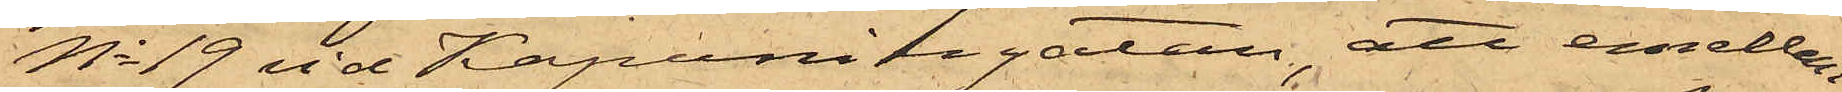No 19 vid Kapuniergatan, att emellan
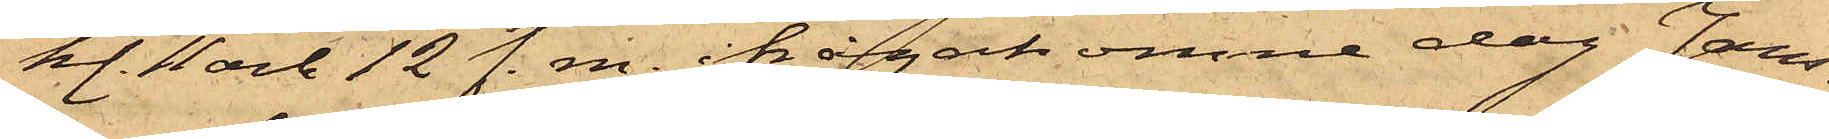kl. 11 och 12 f. m. ifrågakomne dag Jans¬
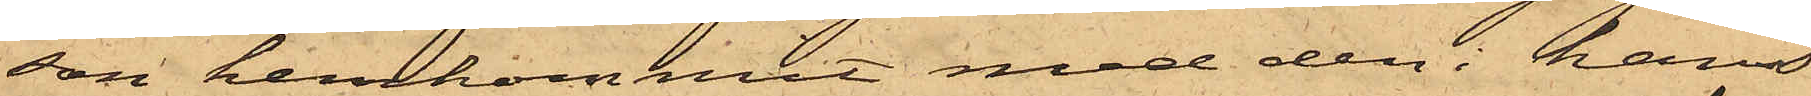son hemkommit med den i hans
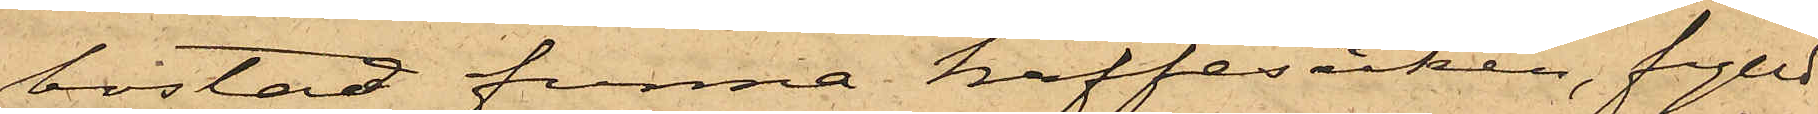bostad funna kaffesäcken, fylld
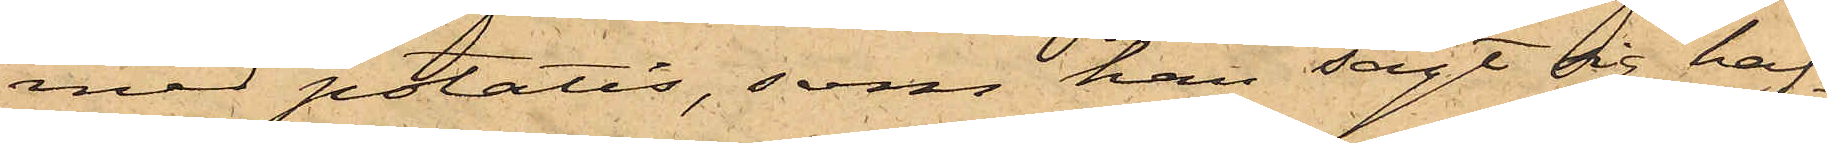med potatis, som han sagt sig haf¬
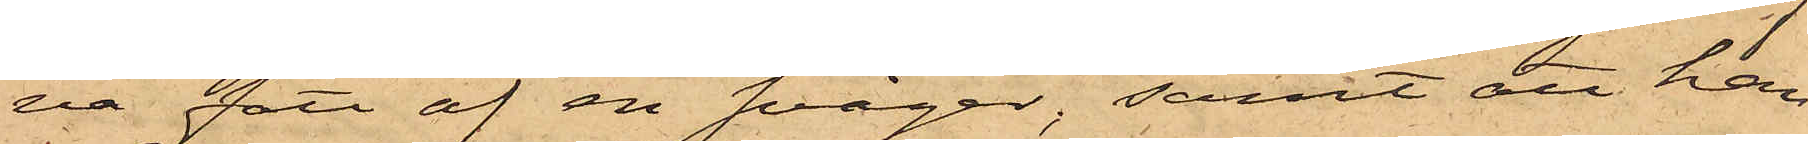va fått af en svåger; samt att han
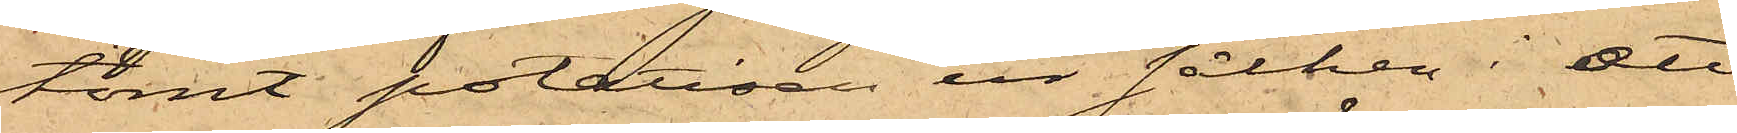tömt potatisen ur säcken i ett
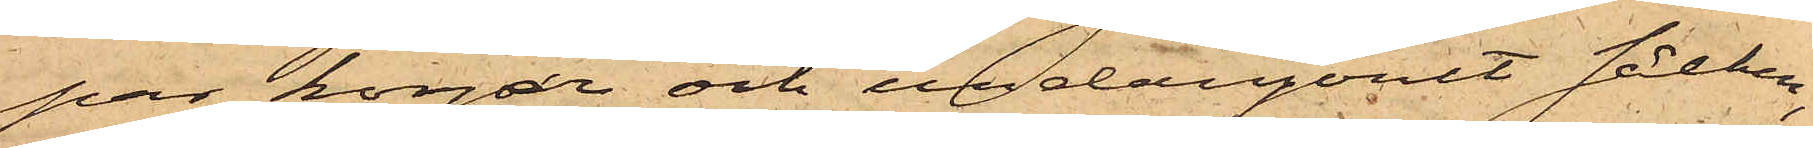par korgar och undangömt säcken;
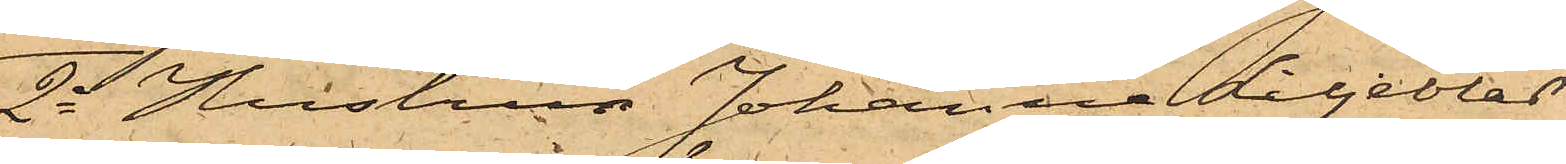2o Hustrun Johanna Liljeblad
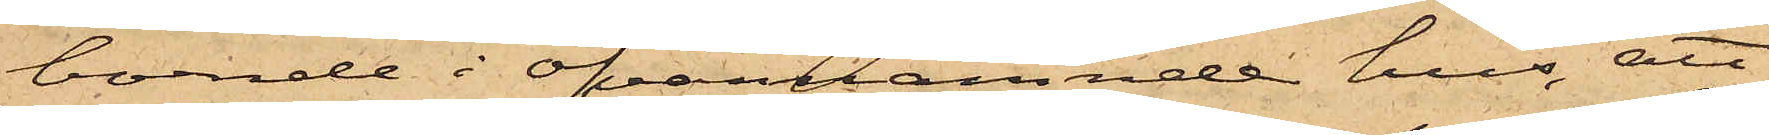boende i ofvannämnde hus, att
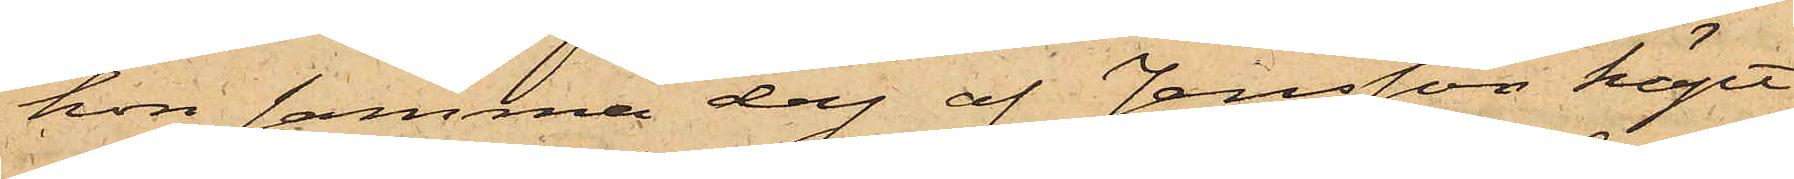hon samma dag af Jansson köpt
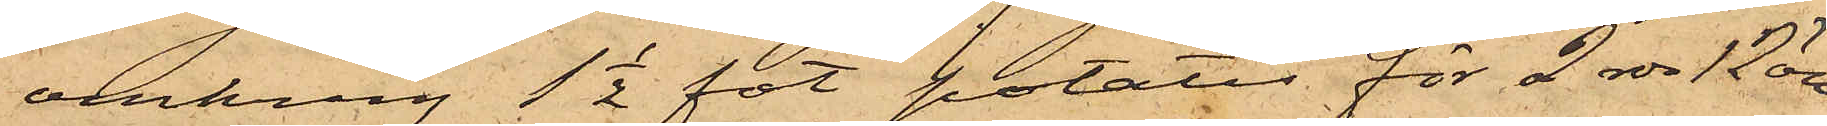omkring 1 1/2 fot potatis för 2 rdr 12 öre
